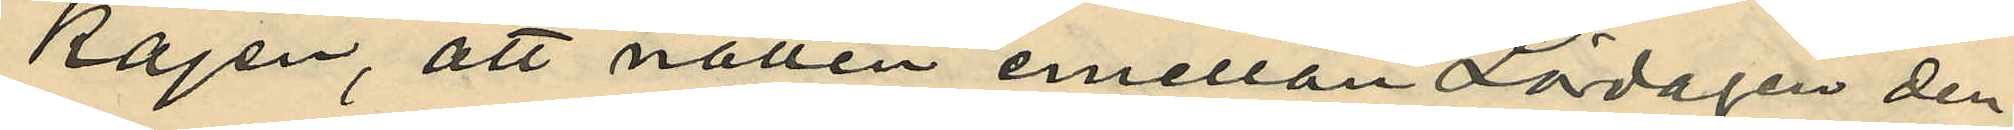kajen, att natten emellan Lördagen den
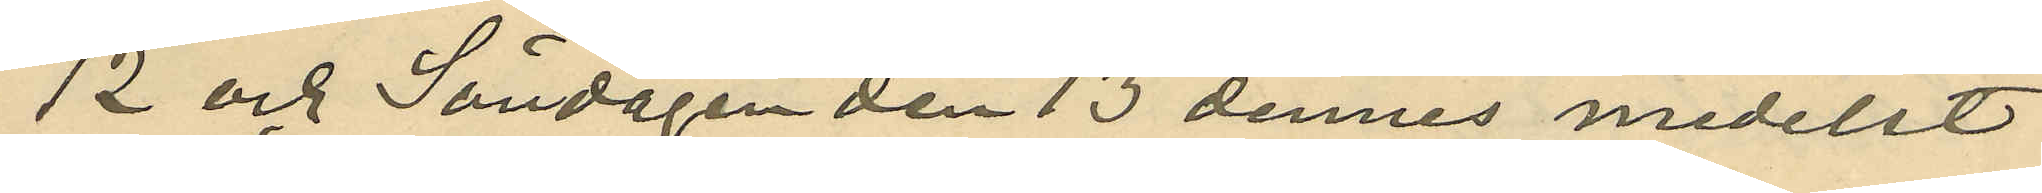12 och Söndagen den 13 dennes medelst
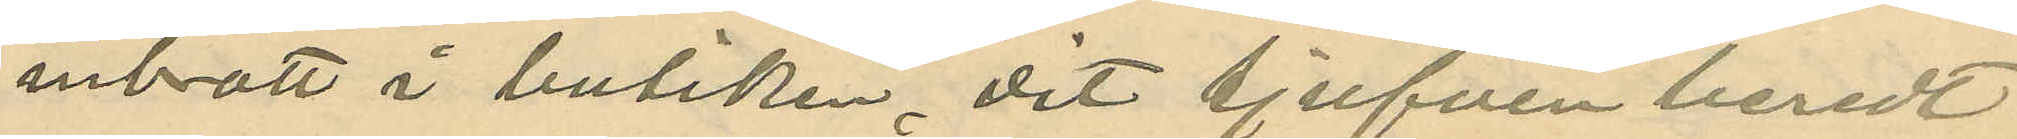inbrott i butiken, dit tjufven beredt
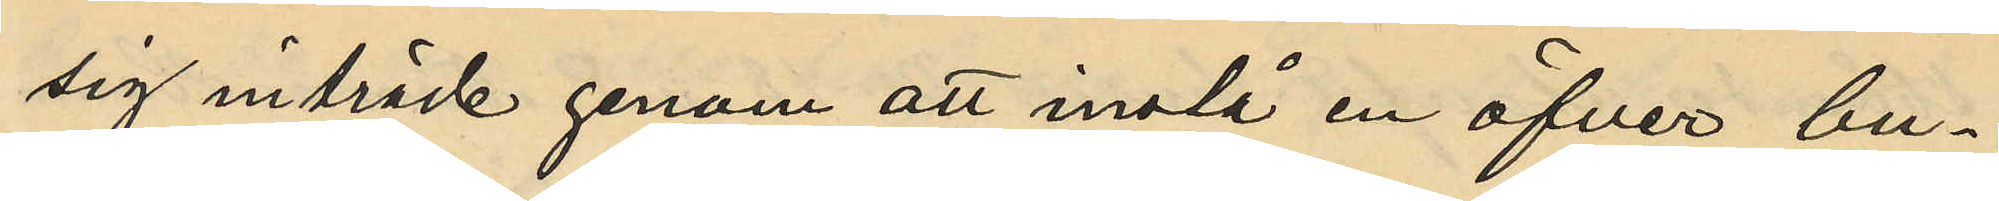sig inträde genom att inslå en öfver bu¬
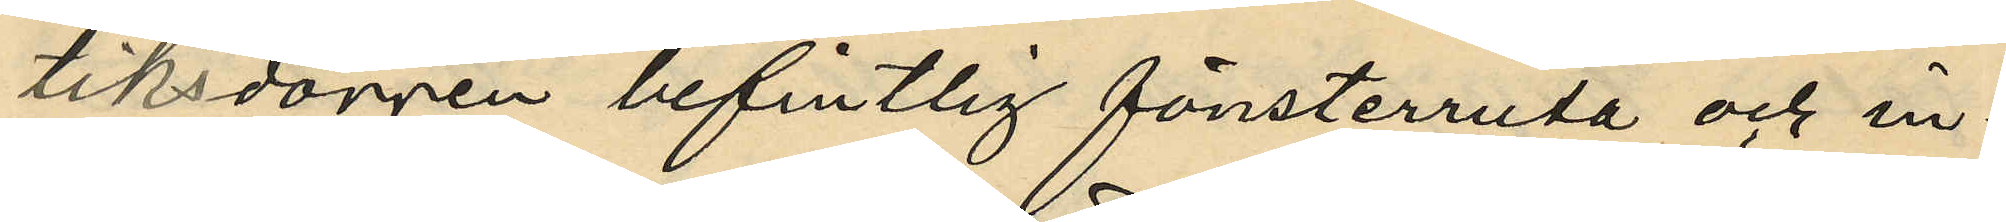tiksdörren befintlig fönsterruta och in¬
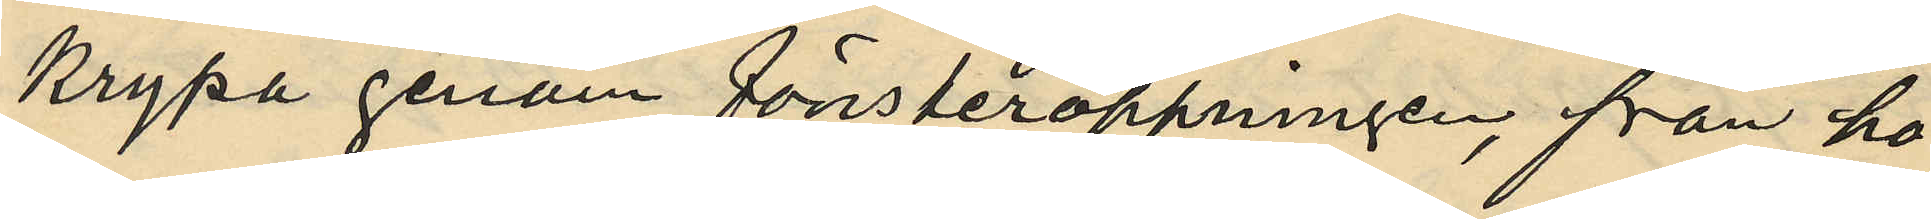krypa genom fönsteröppningen, från ho¬
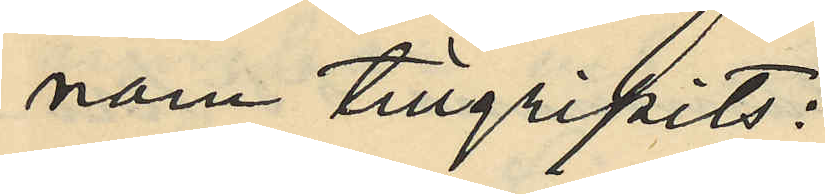nom tillgripits:
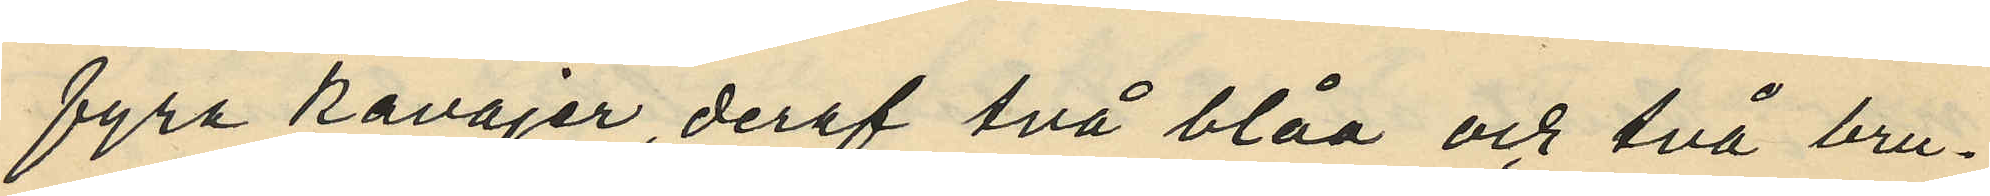fyra kavajer, deraf två blåa och två bru¬
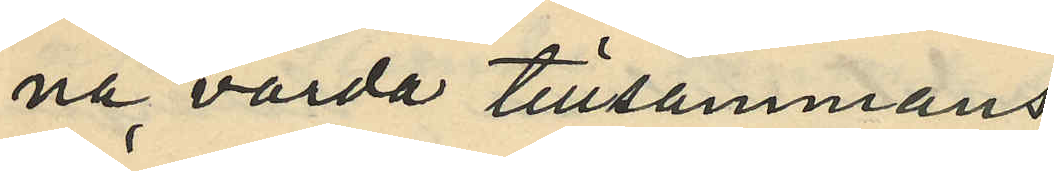na värda tillsammans
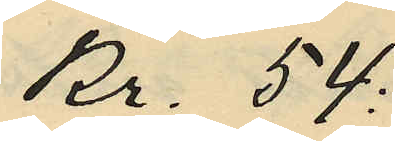Kr. 54:
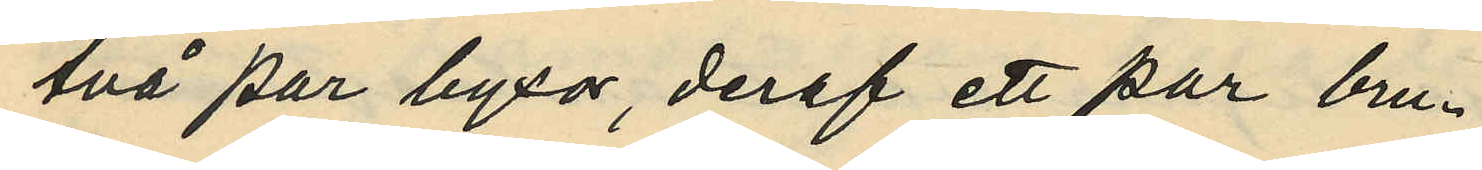två par byxor, deraf ett par bru¬
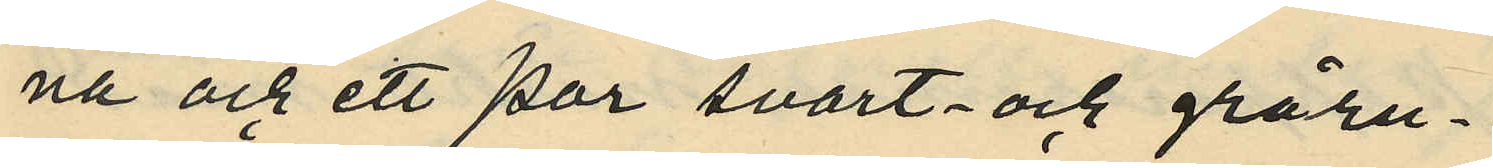na och ett par svart- och gråru¬
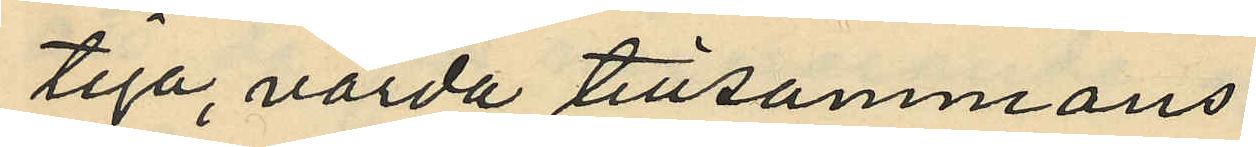tiga, värda tillsammans
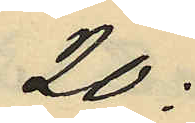20:
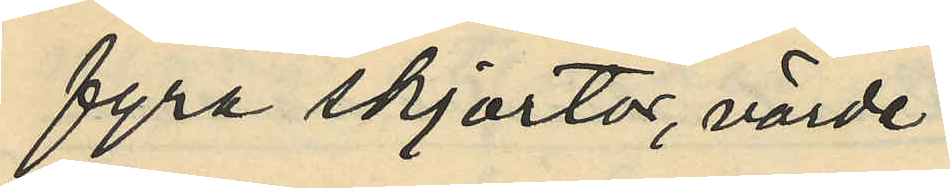fyra skjortor, värda
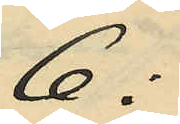6:
